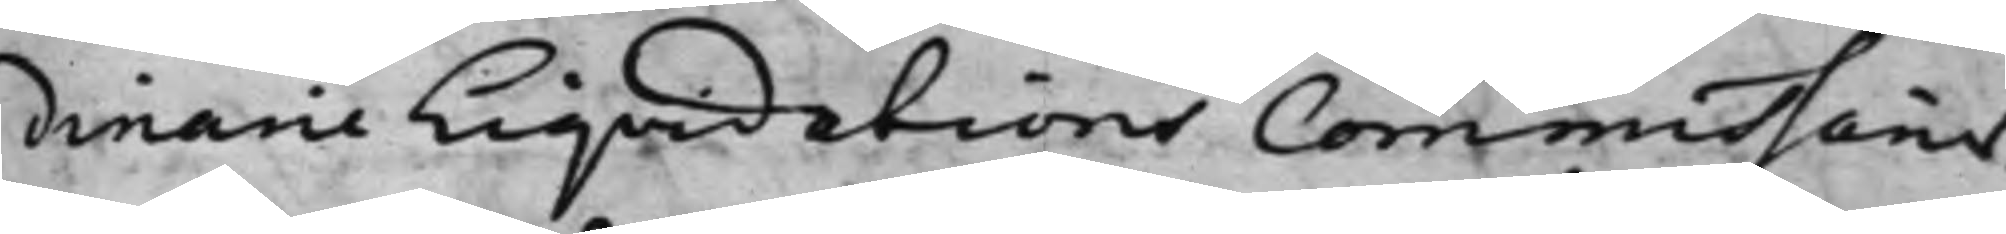dinarie Liqvidations Commissarier.
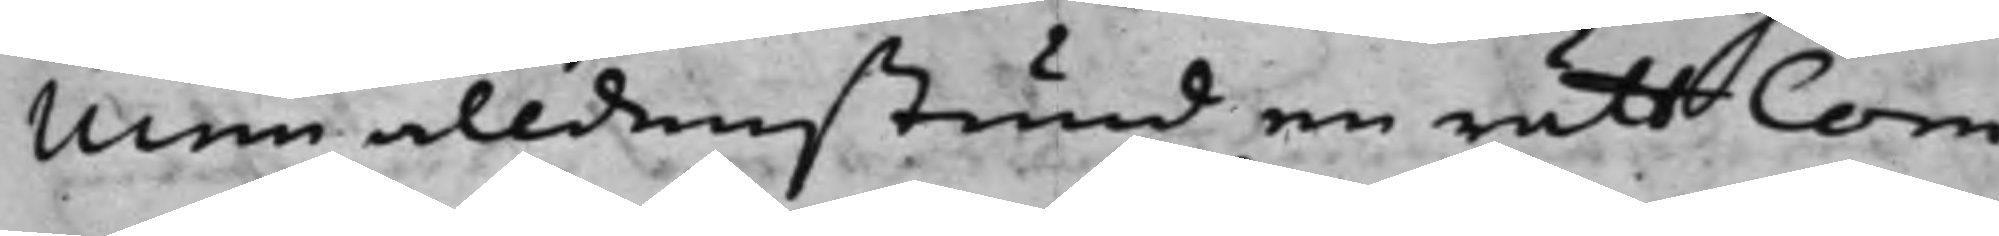Men alldenstund en rätt Com¬
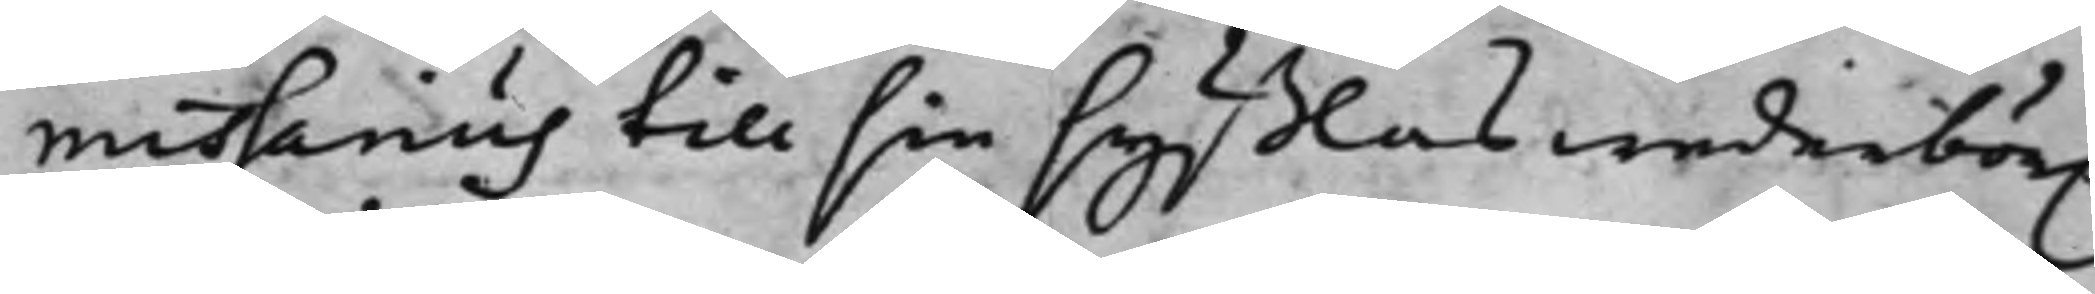missarius till sin syßlas wederbör.
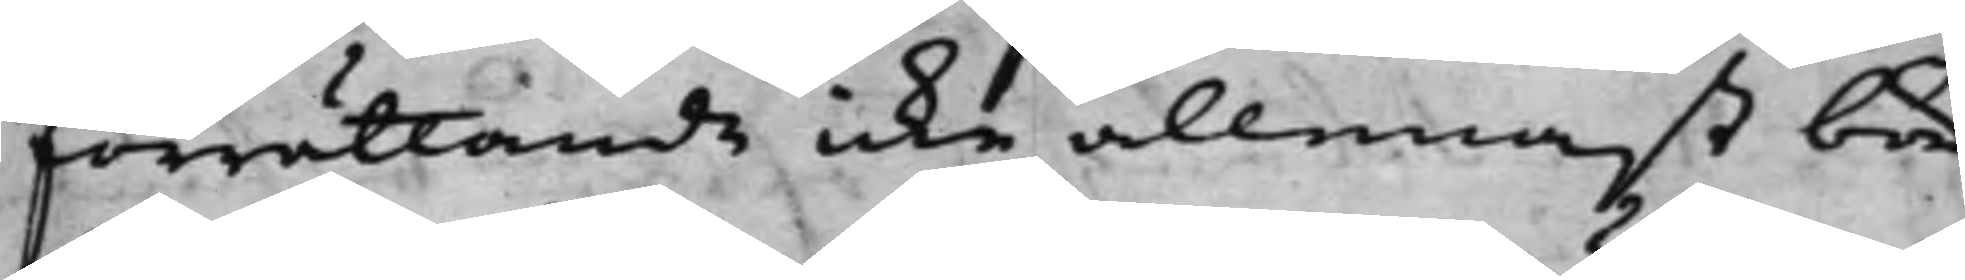förrättande icke allenast bör
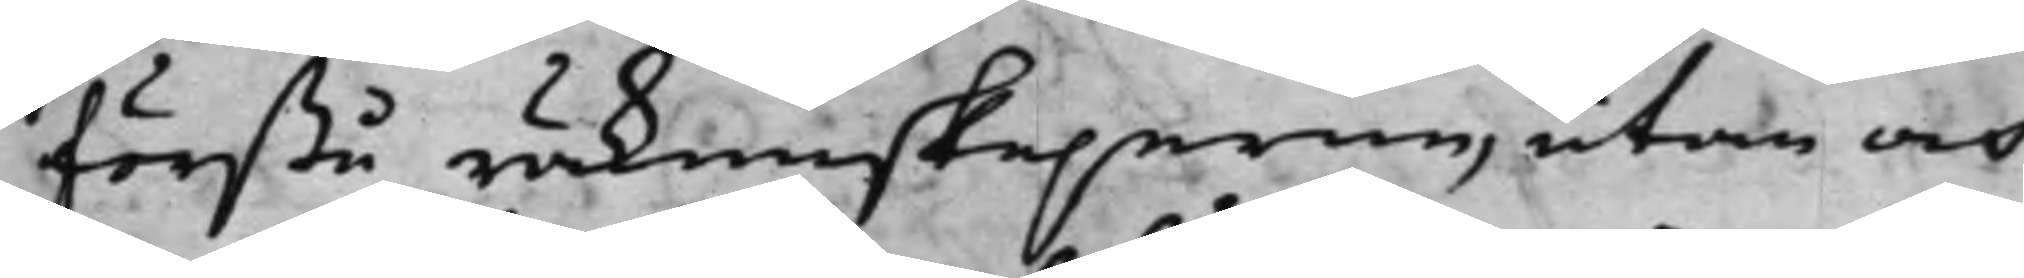förestå räkenskaperne, utan och
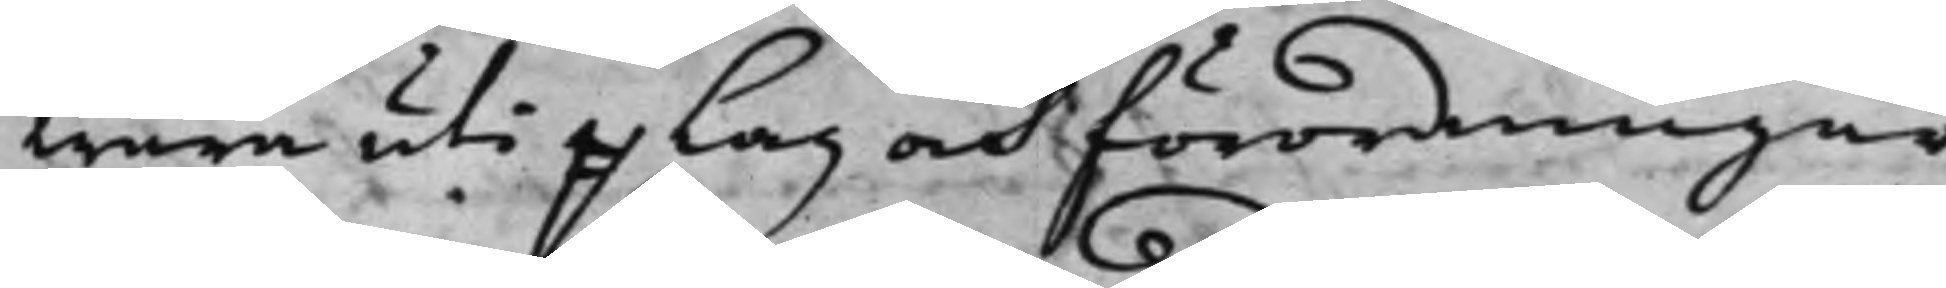wara uti e Lag och förordningar
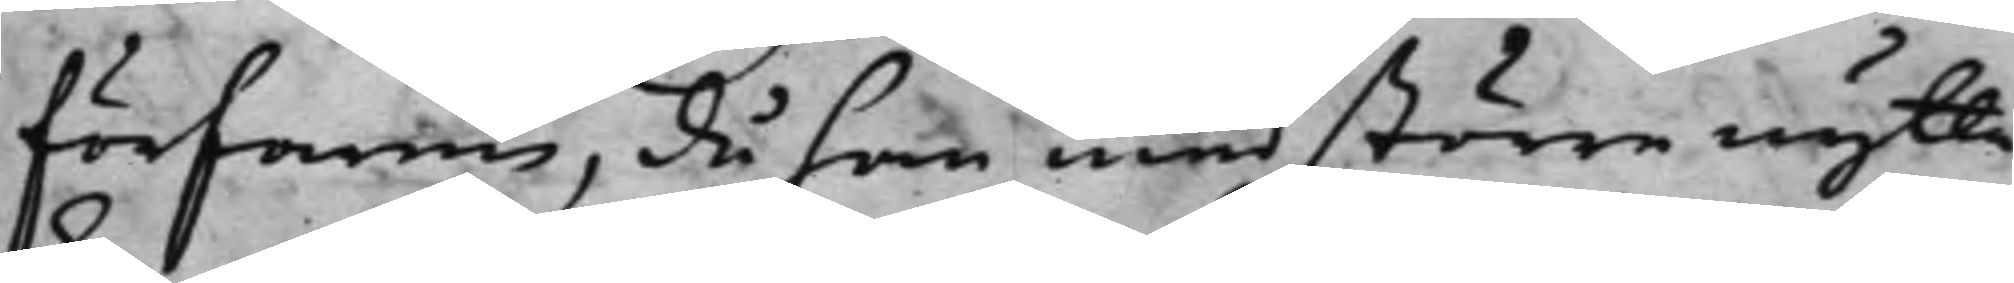förfaren, då han med större nytta
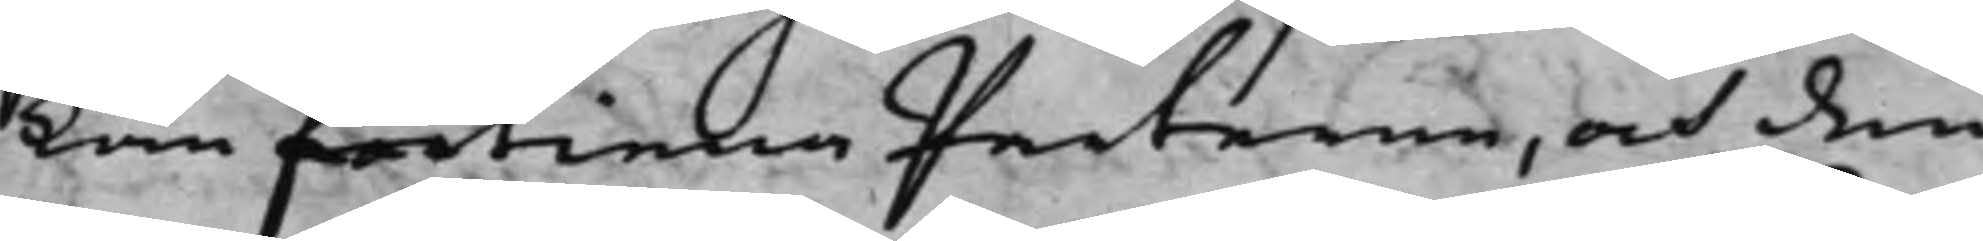kan förtiena Parterne, och den¬
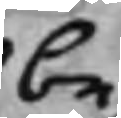be
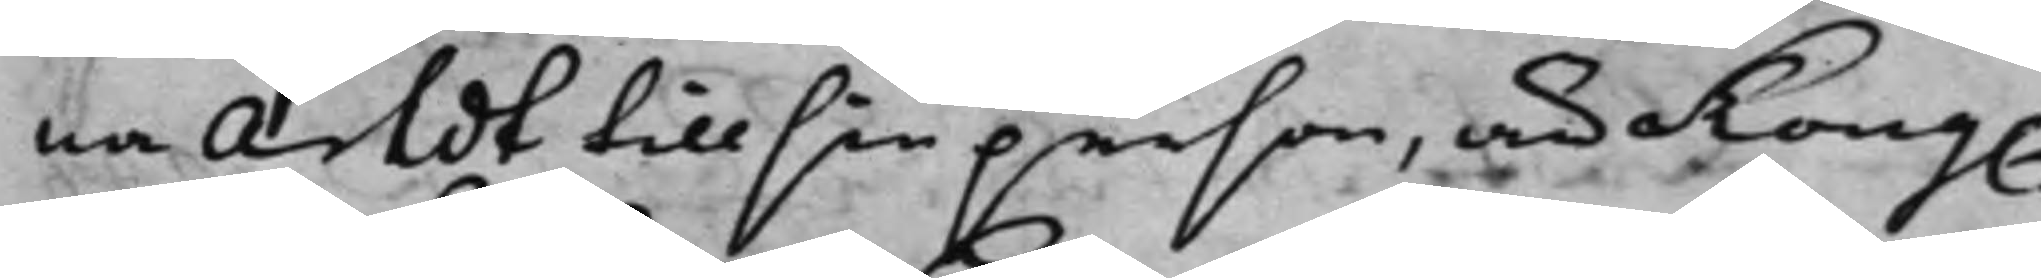nna Arldt till sin person, är Kong.
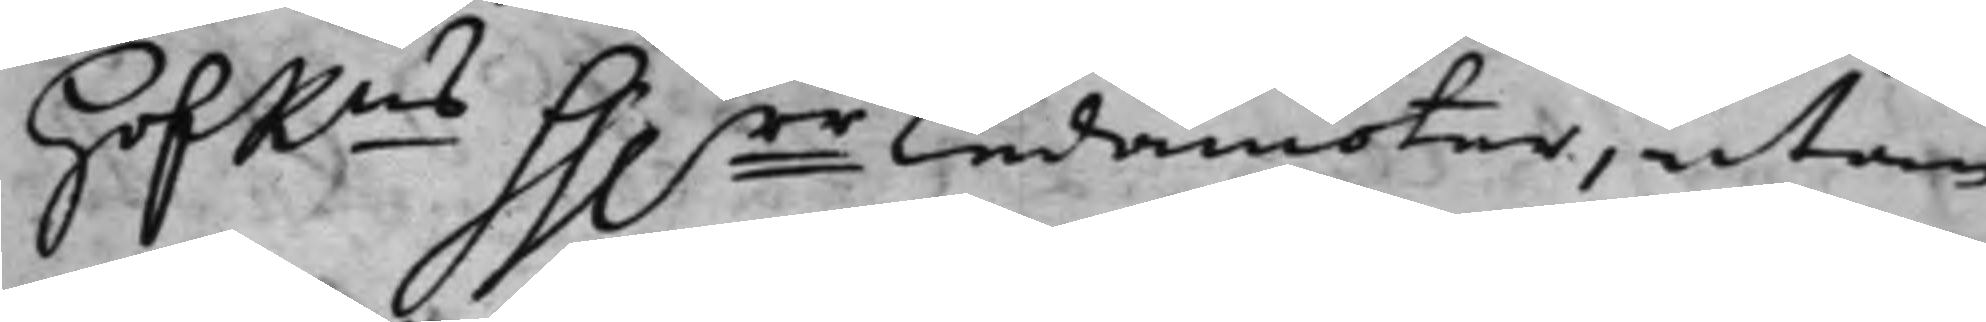HofRns hh.rr Ledamöter, utan
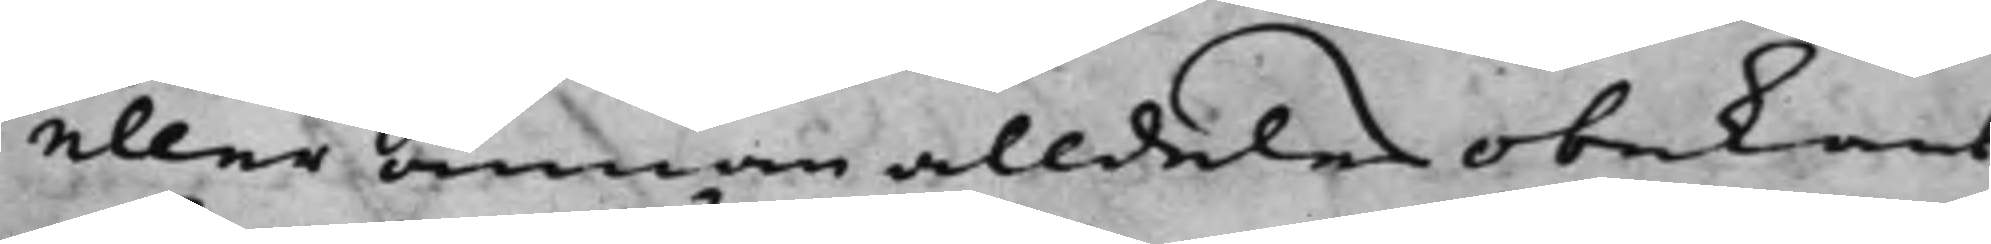eller annan alldeles obekant;
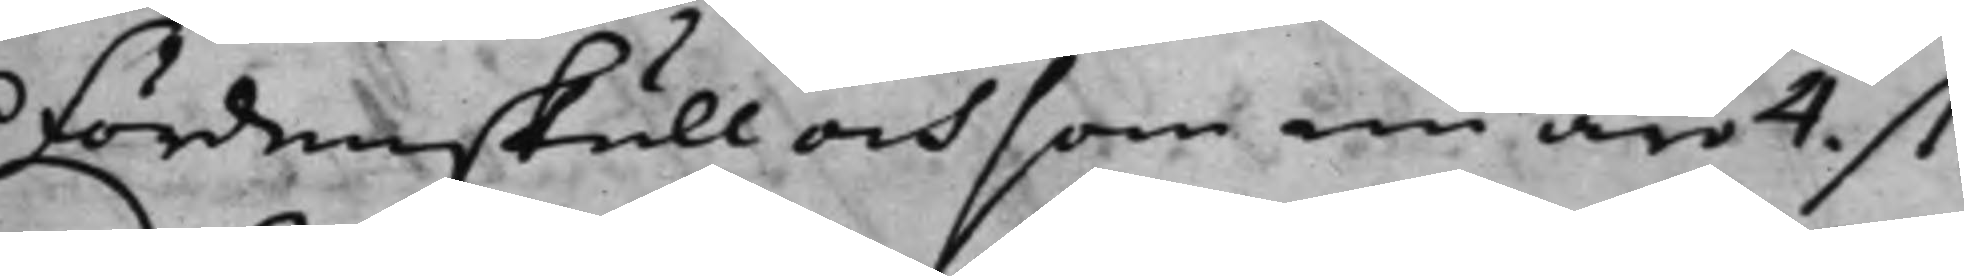Fördenskull och som nu är 4. st:
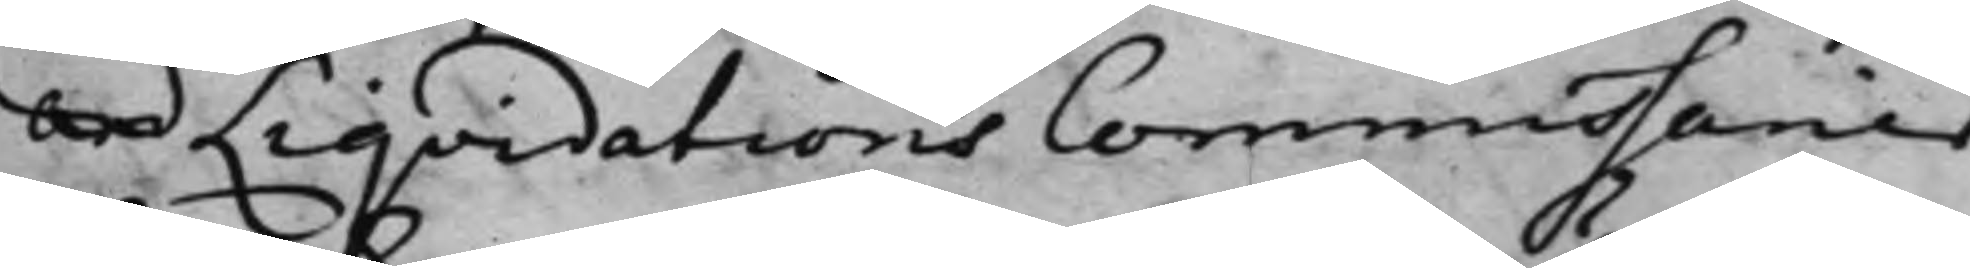ord Liqvidations Commissarier,
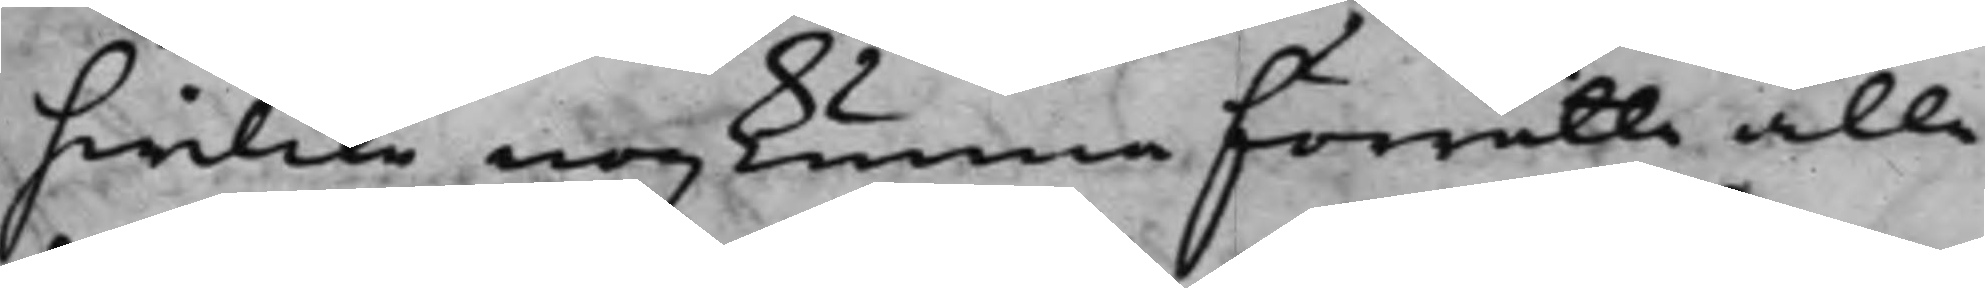hwilcka nog kunna förrätta alle
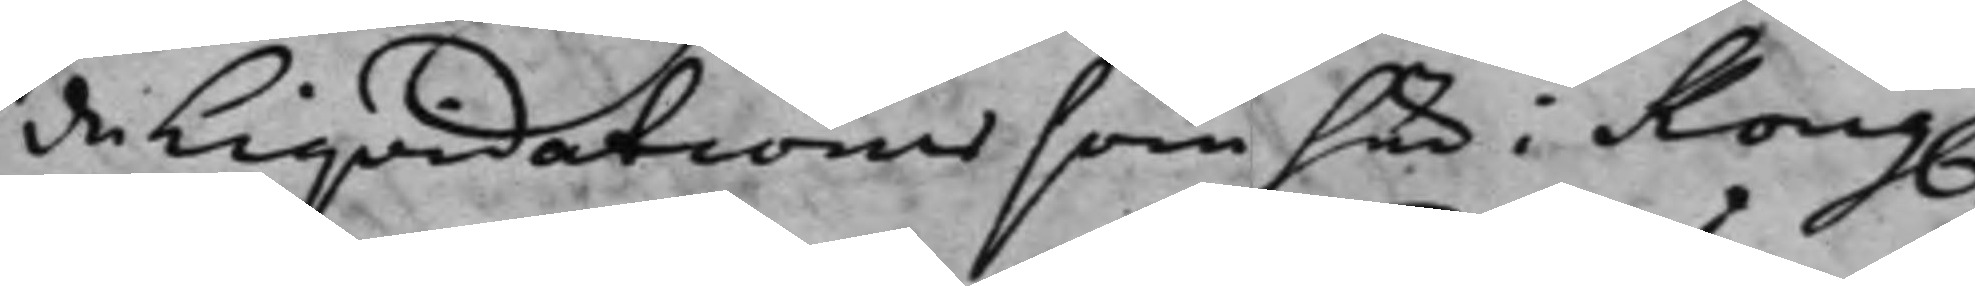de Liqvidationer som här i Kong.
